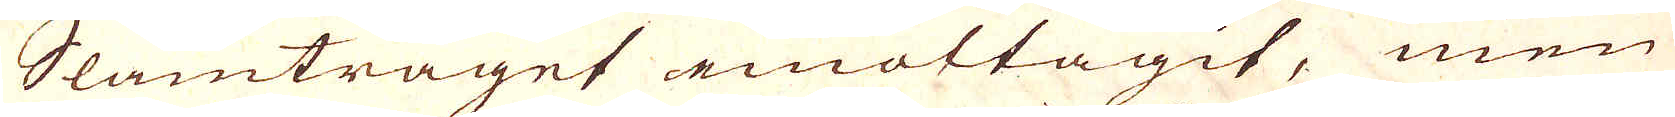Slamtråget emottagit, men
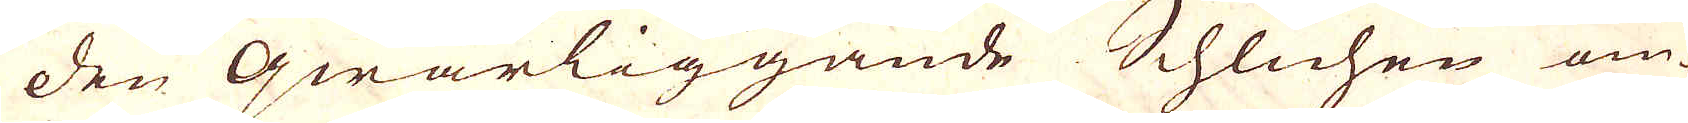den qwarliggande Schlichen om-
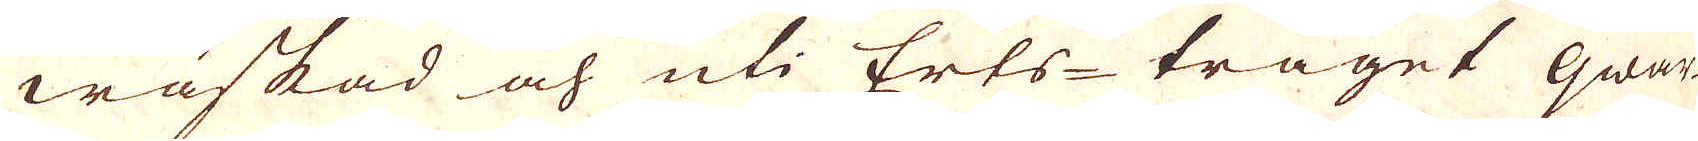waskad och uti Erts-tråget qwar-
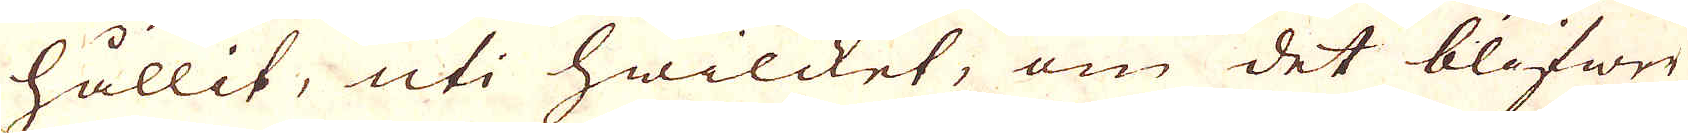hållit, uti hwilcket, om det blifwer
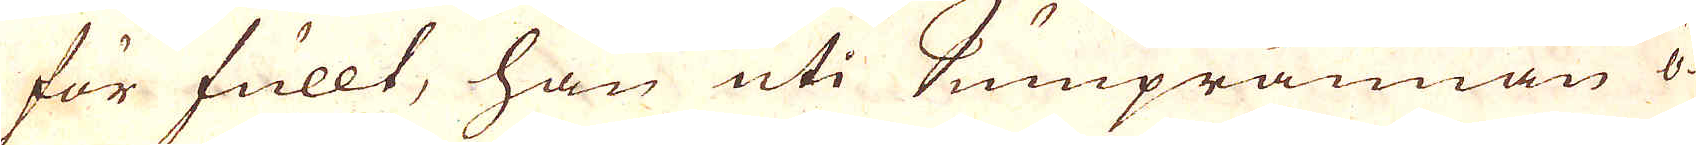för fullt, han uti Sumprännan ö-
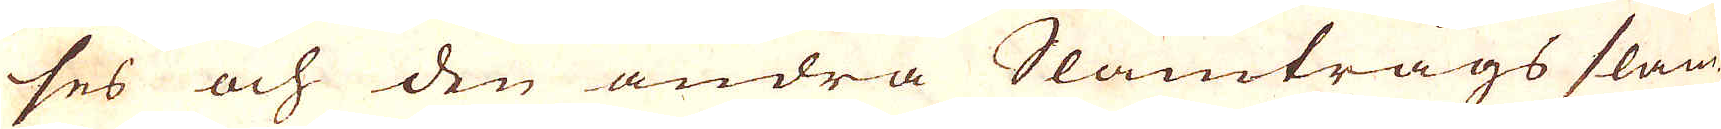ses och den andra Slamtrågs slam-
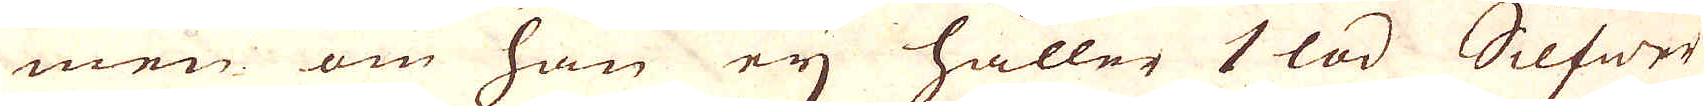men om han eij håller 1 lod Silfwer
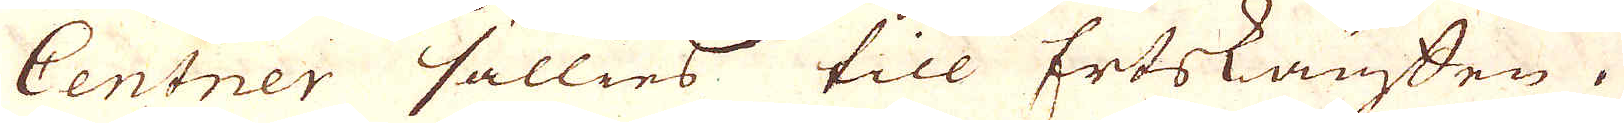Centner sällies till Ertskauffen.
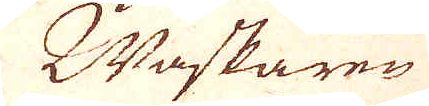Waskaren
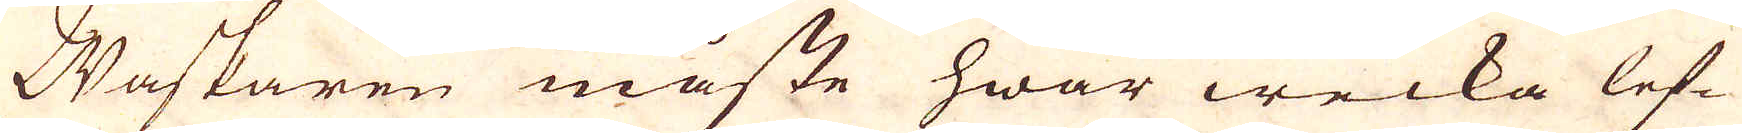Waskaren måste hwar wecka lef-
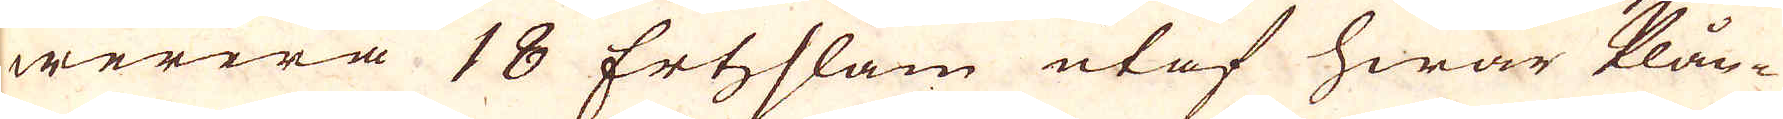werera 18 Ertzslam utaf hwar Plån-
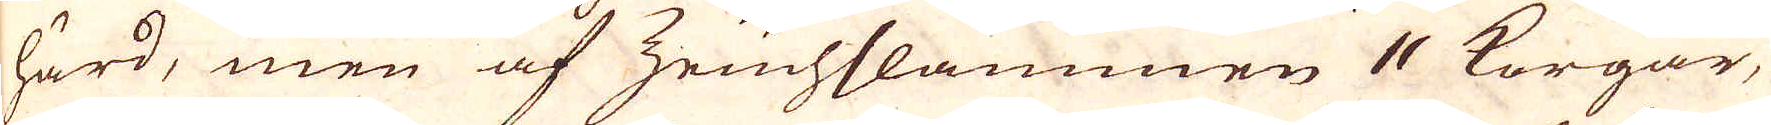härd, men af Zruchslammen 11 Korgar,
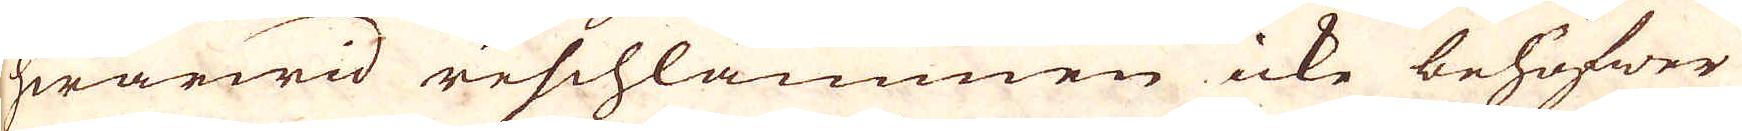hwarwid reschlammen icke behöfwer
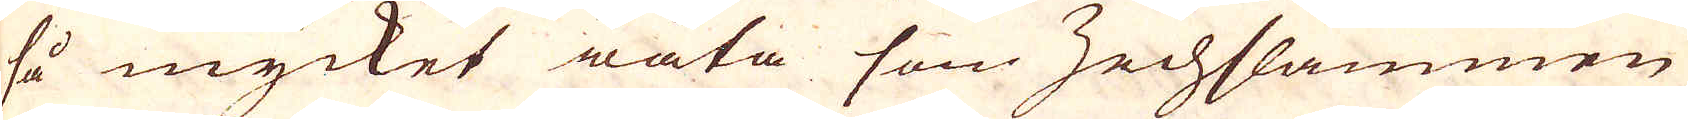så mycket wäta som Zechslammen
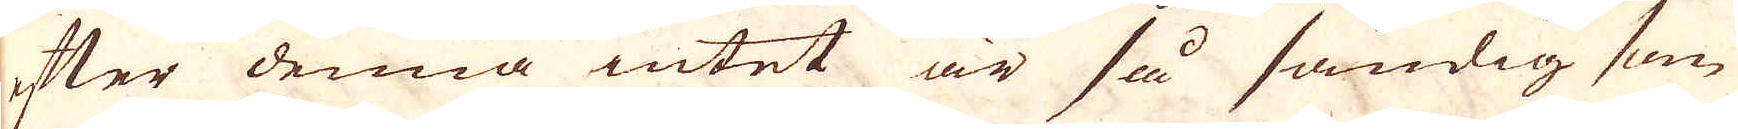efter denna intet är så sandig som
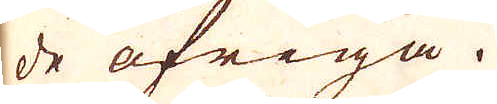de öfriga.
